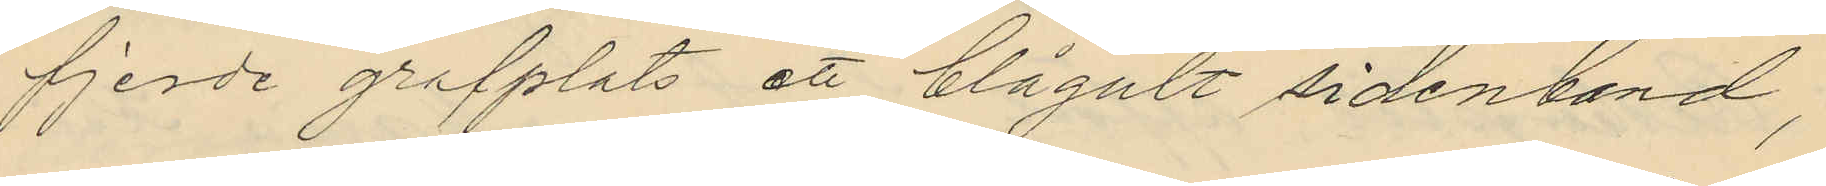fjerde grafplats ett blågult sidenband,
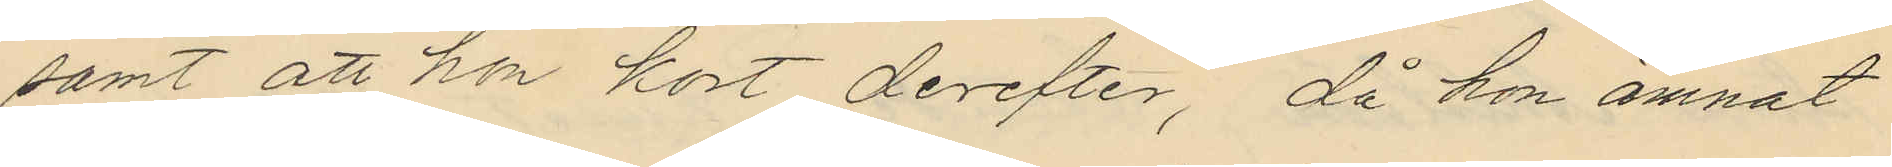samt att hon kort derefter, då hon ämnat
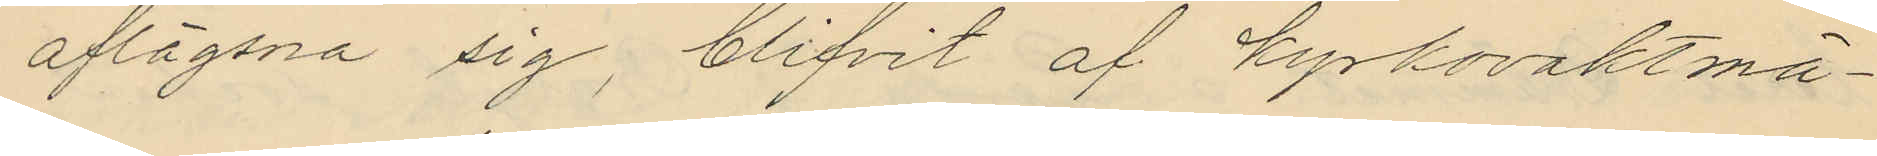aflägsna sig, blifvit af kyrkovaktmä¬
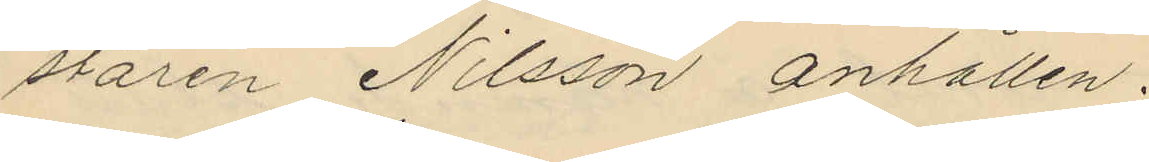staren Nilsson anhållen.
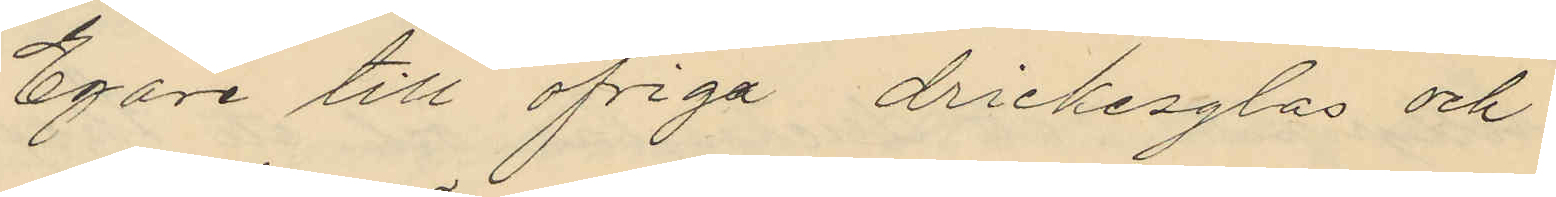Egare till öfriga drickesglas och
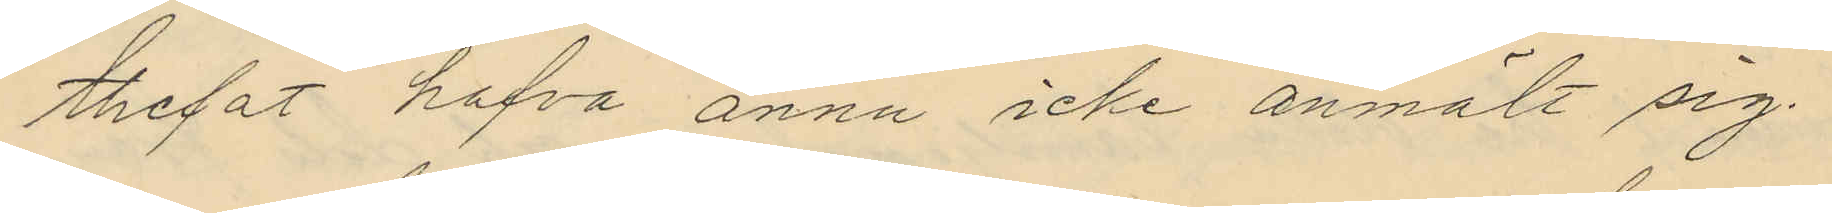thefat hafva ännu icke anmält sig.
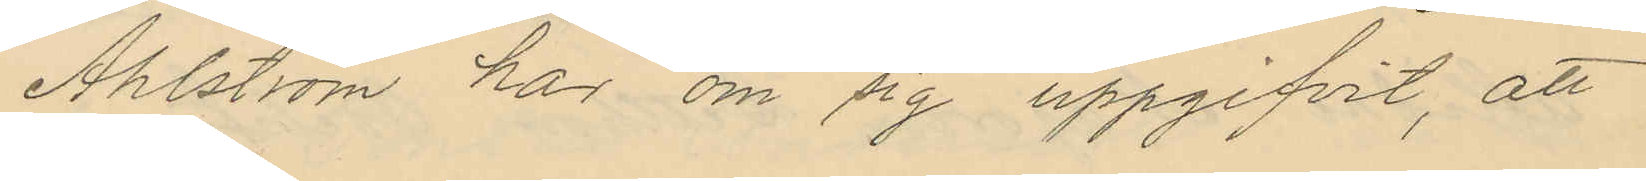Ahlström har om sig uppgifvit, att
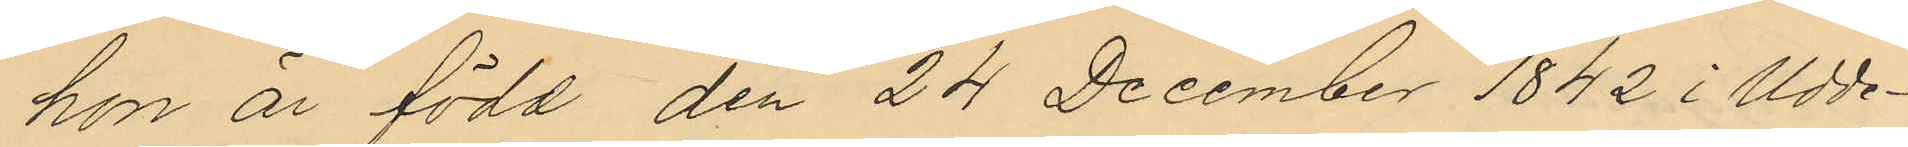hon är född den 24 December 1842 i Udde¬
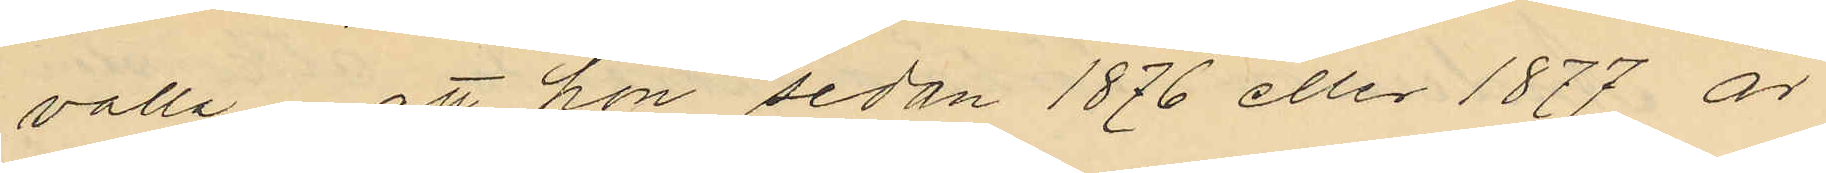valla att hon sedan 1876 eller 1877 är
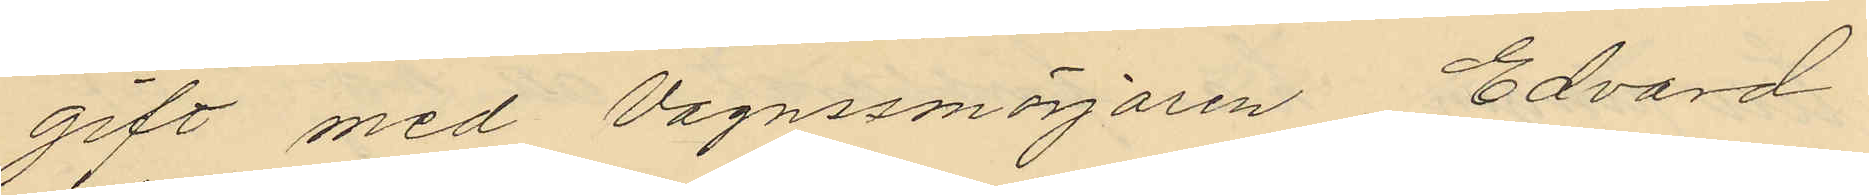gift med Vagnssmörjaren Edvard
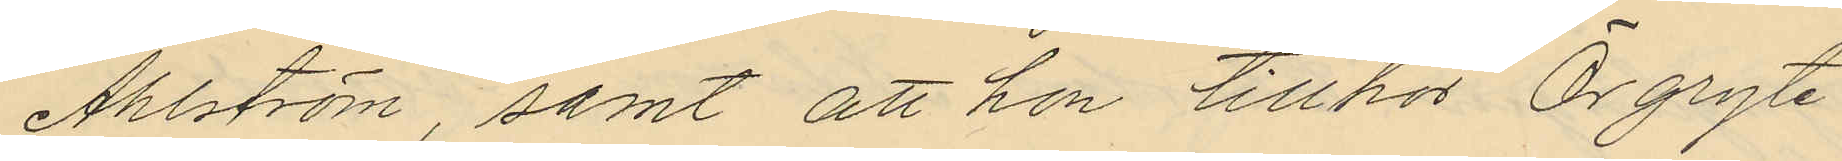Ahlström, samt att hon tillhör Örgryte
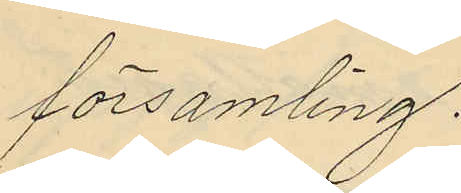församling.
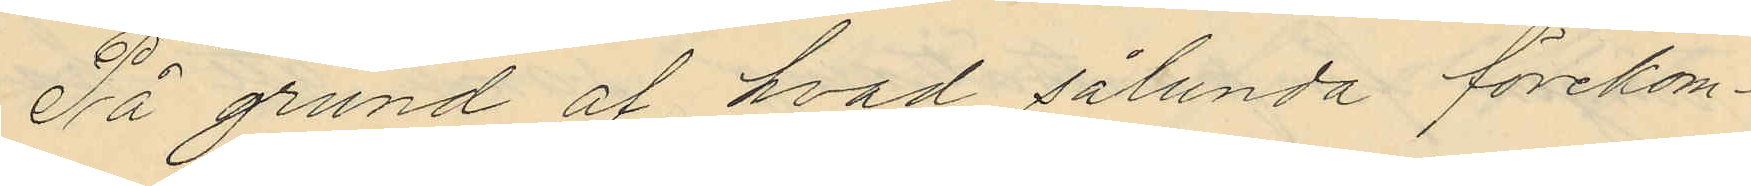På grund af hvad sålunda förekom¬
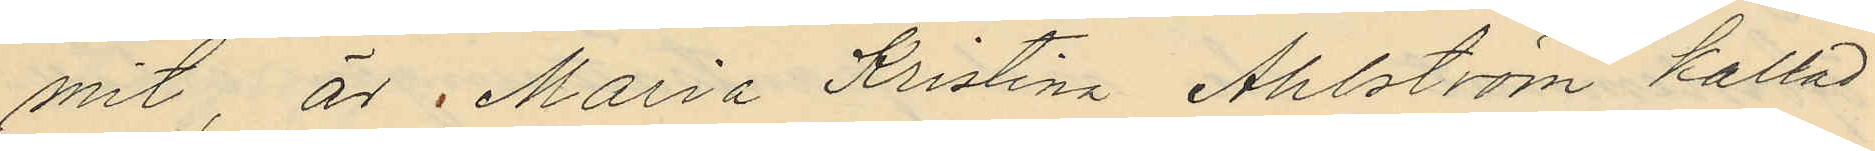mit, är Maria Kristina Ahlström kallad
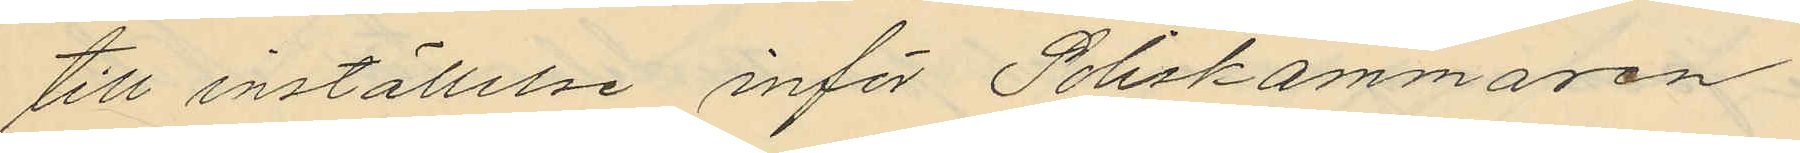till inställelse inför Poliskammaren
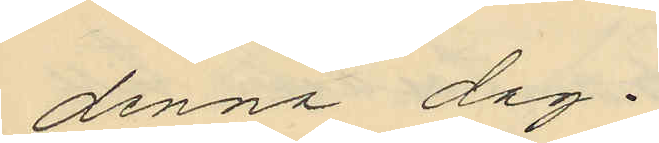denna dag.
